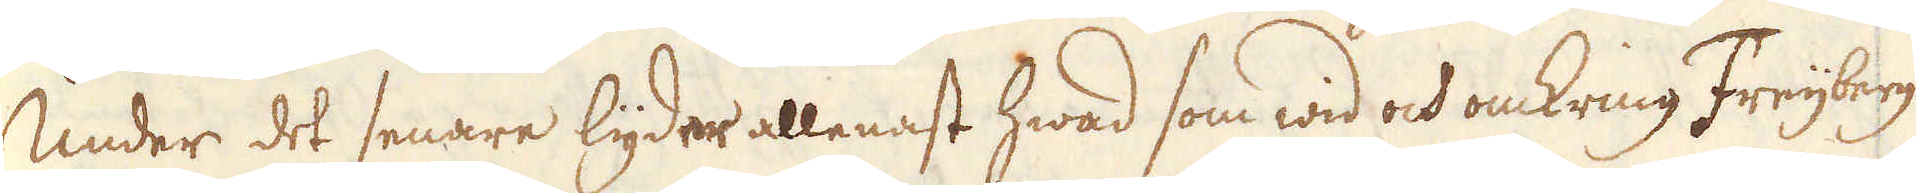Under det senare lyder allenast hwad som wid och omkring Freijberg
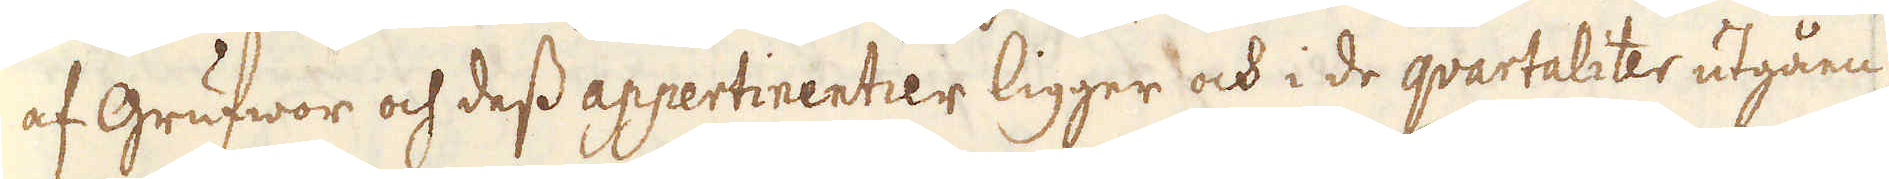af Grufwor och dess appertinentier ligger och i de qvartaliter utgåen-
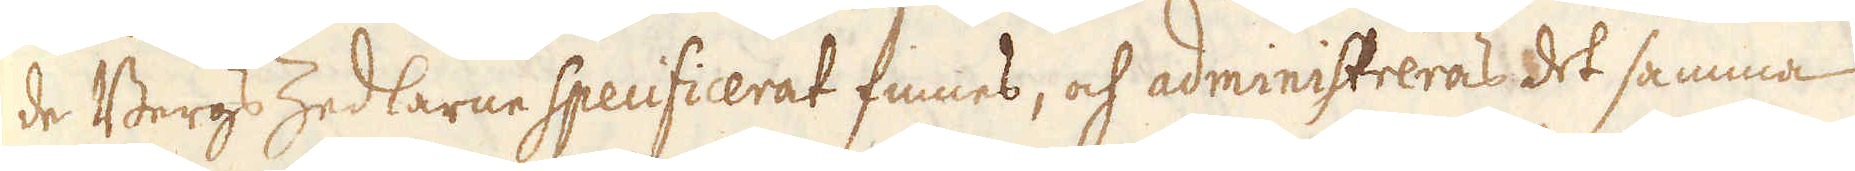de Bergs Zedlarne specificerat finnes, och administreras det samma
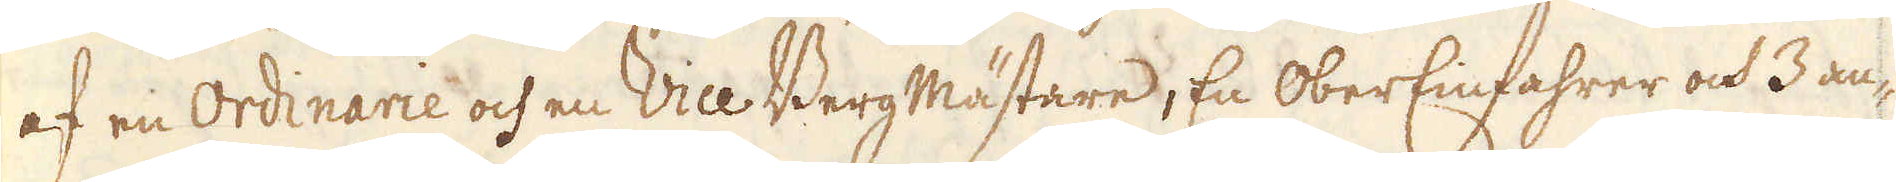af en Ordinarie och en Vice BergMästare, En OberEinfahrer och 3 an-
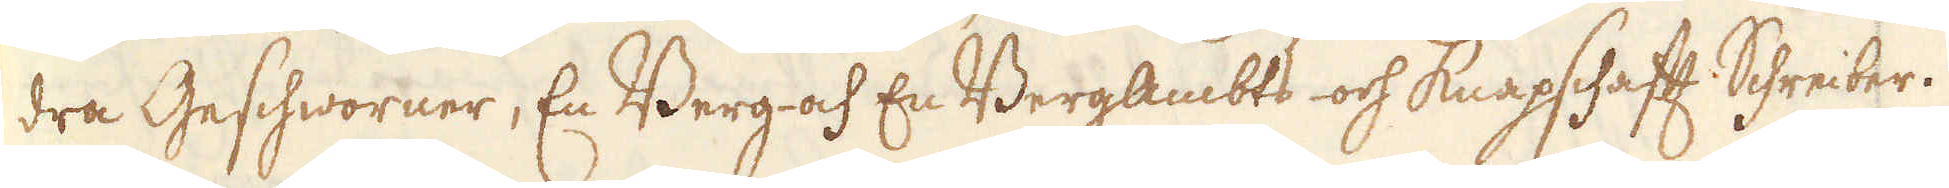dra Geschworner, En Berg- och En Bergambts- och Knapschafft Shreiber.
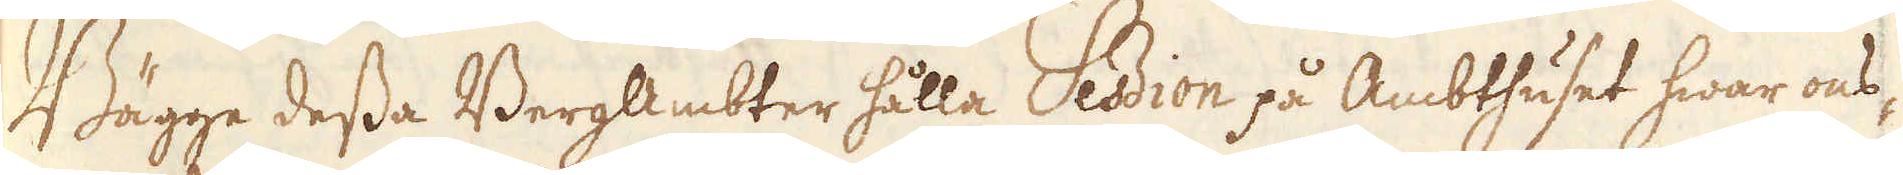Bägge dessa BergAmbter hålla Session på Ambthuset hwar ons-
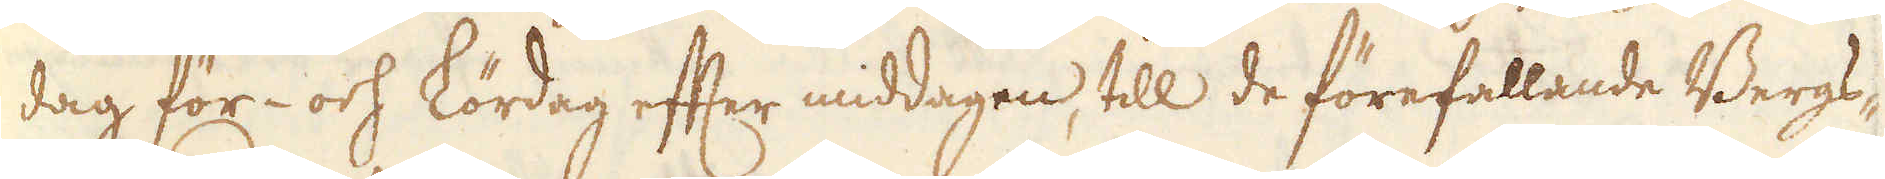dag för- och Lördag efter middagen, till de förefallande Bergs-
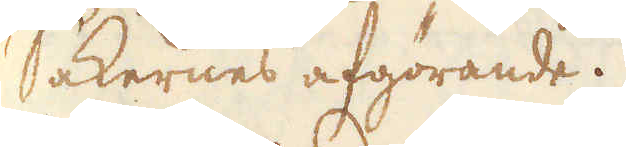sakernes afgörande.
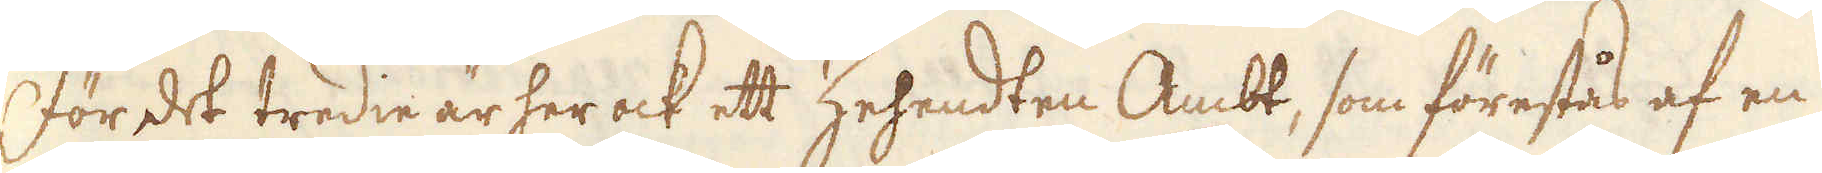För det tredie är her ock ett Zehendten Ambt, som förestås af en
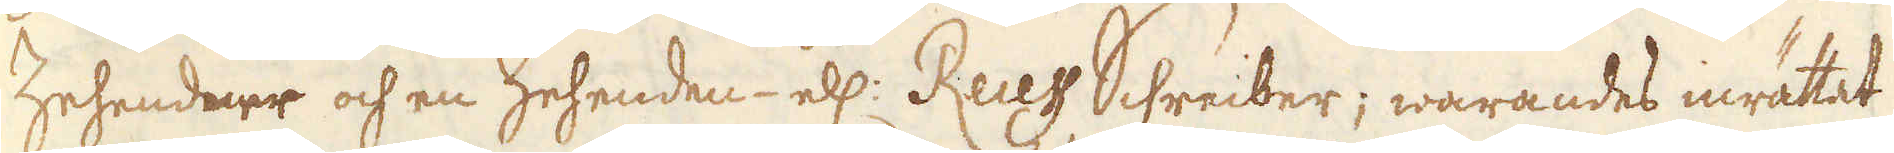Zehendner och en Zehenden- ell: Recess Schreiber; warandes inrättat
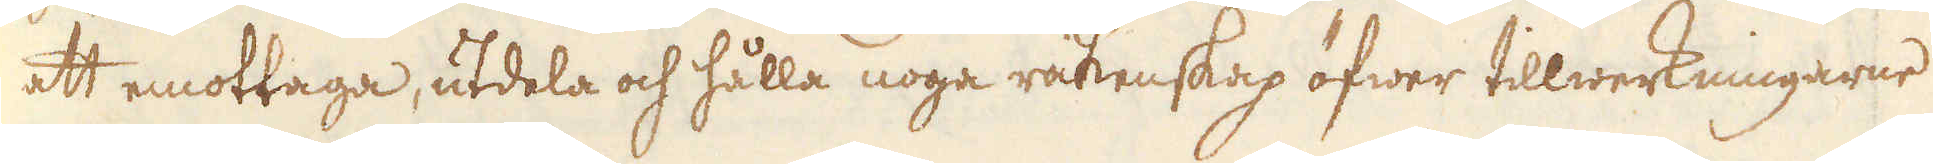att emottaga, utdela och hålla noga räkenskap öfwer tillwerkningarne
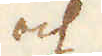och
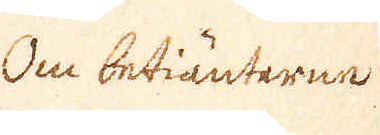Om betiänterne
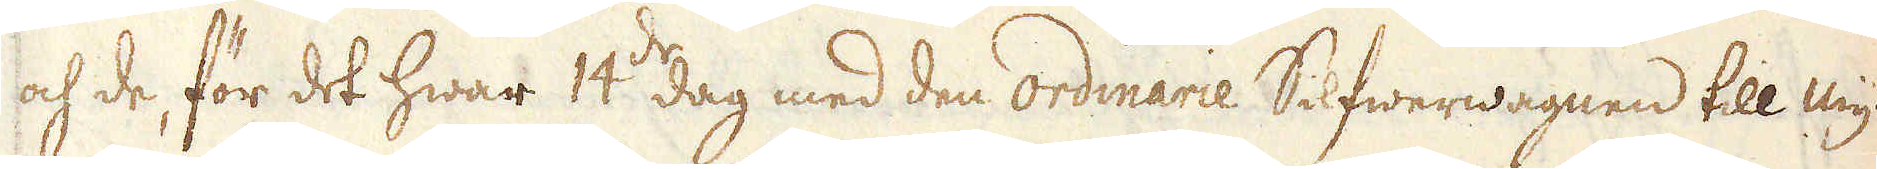och de, för det hwar 14:de dag med den ordinarie Silfwerwagnen till Myn-
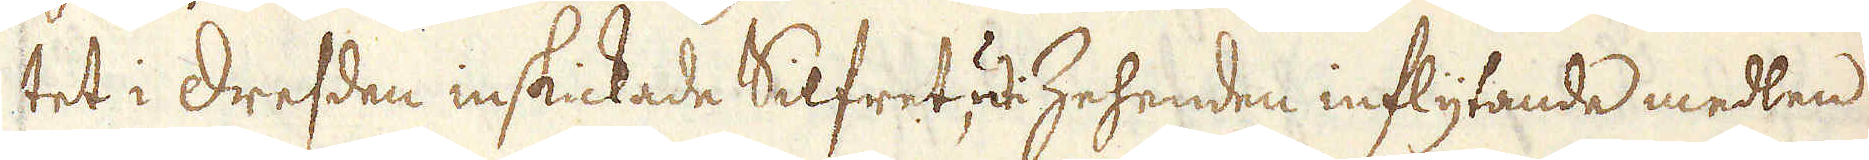tet i Dresden inskickade Silfret uti Zehenden inflytande medlen
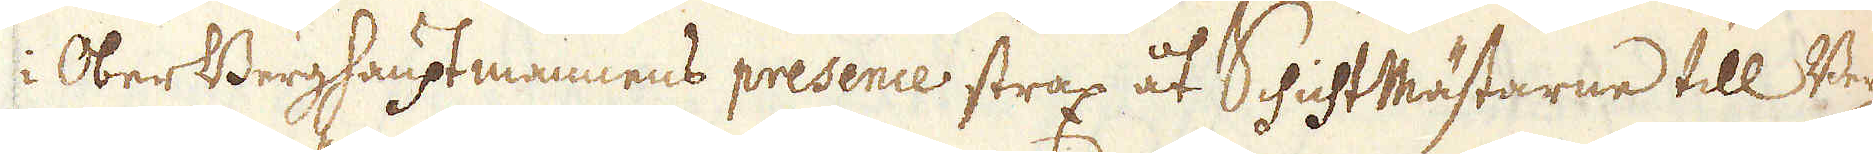i OberBerghauptmannens presence strax åt SchichtMästarne till Berg-
